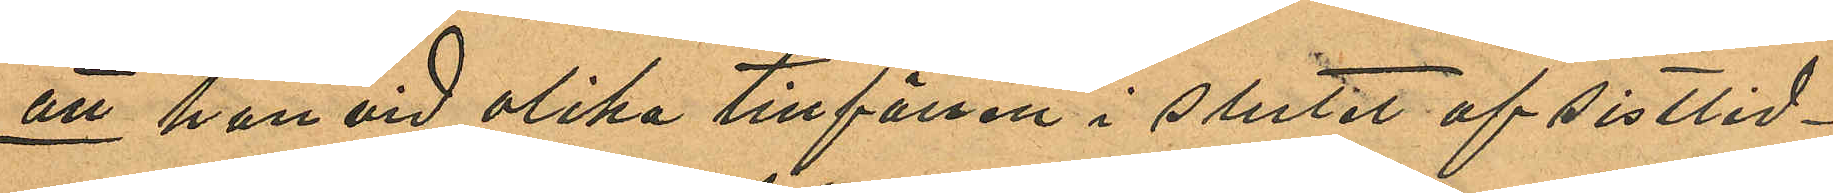att han vid olika tillfällen i slutet af sistlid¬
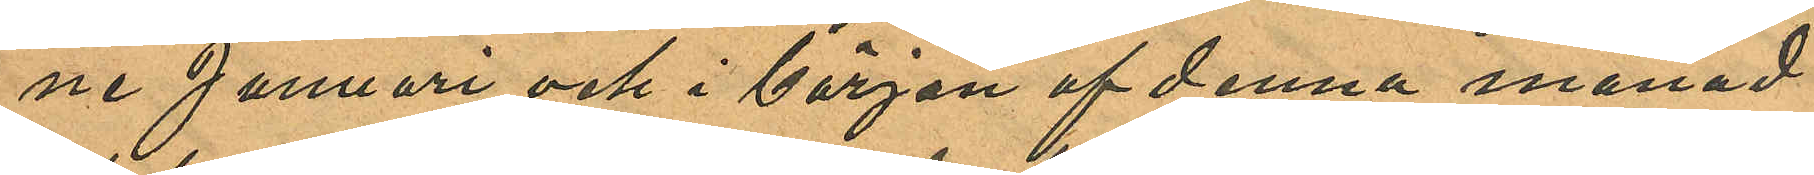ne Januari och i början af denna månad
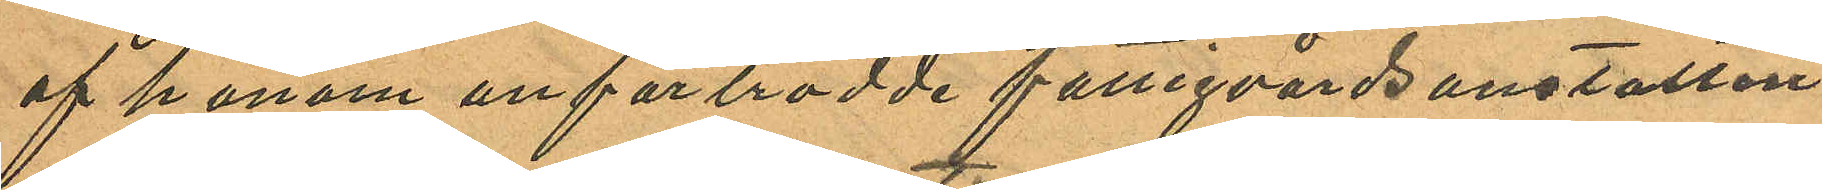af honom anförtrodde fattigvårdsanstalten
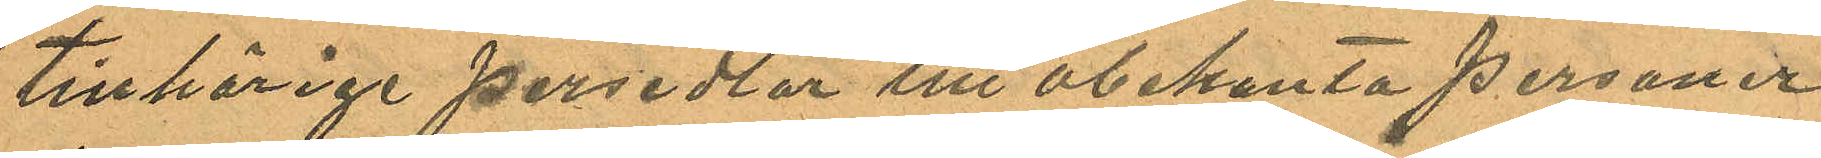tillhörige persedlar till obekanta personer
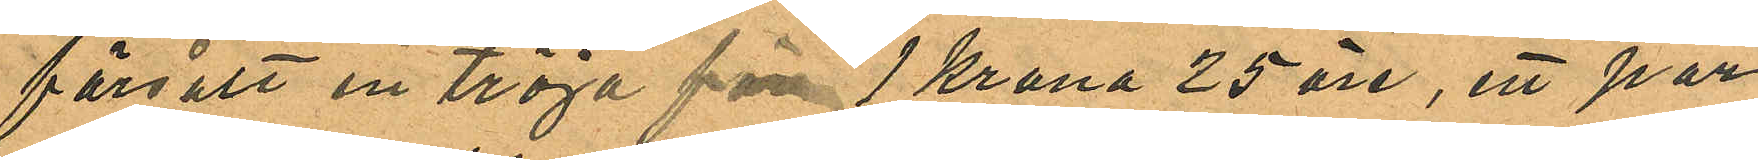försålt en tröja för 1 Krona 25 öre, ett par
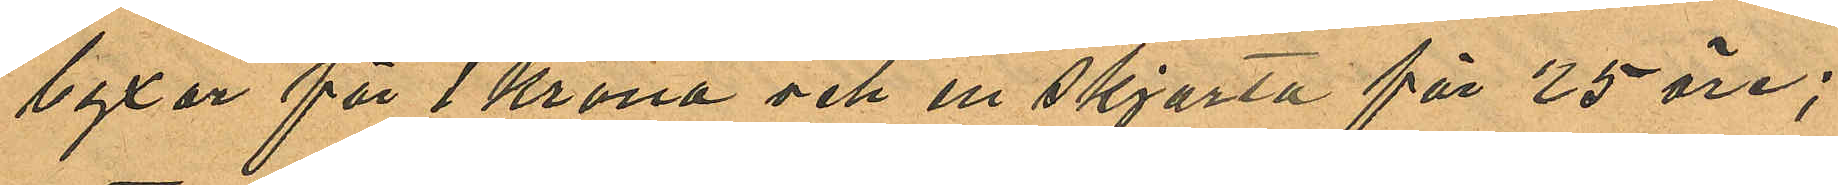byxor för 1 Krona och en skjorta för 25 öre;
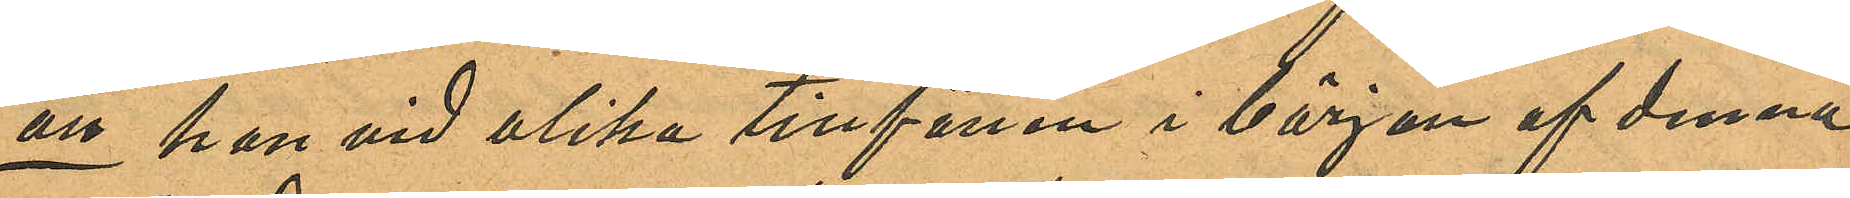att han vid olika tillfällen i början af denna
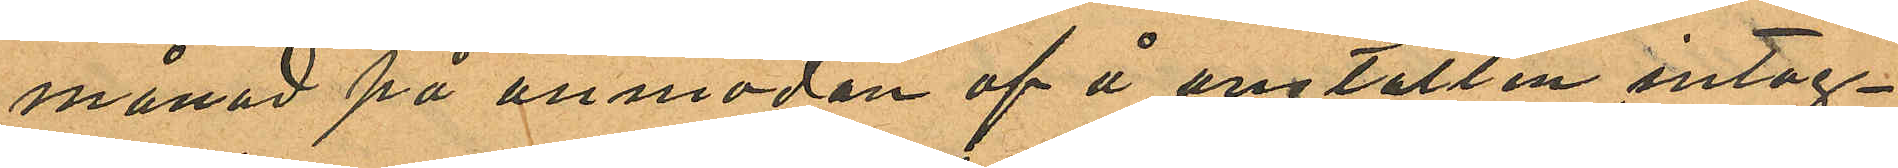månad på anmodan af å anstalten intag¬
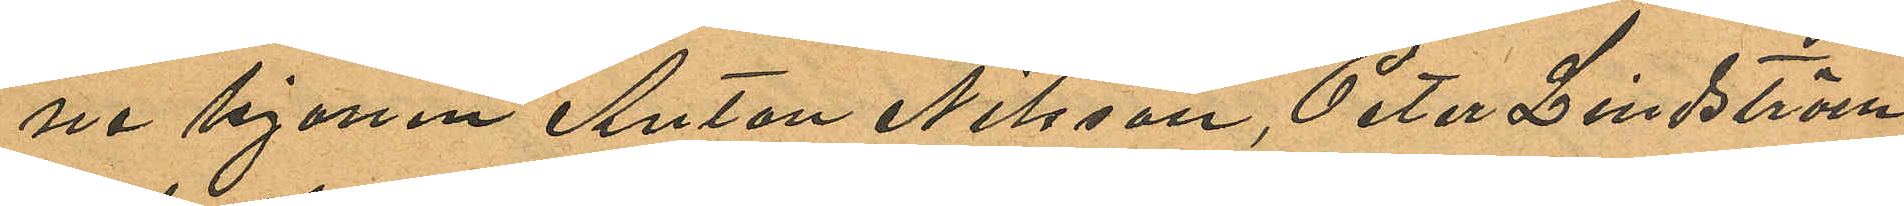ne hjonen Anton Nilsson, Peter Lindström
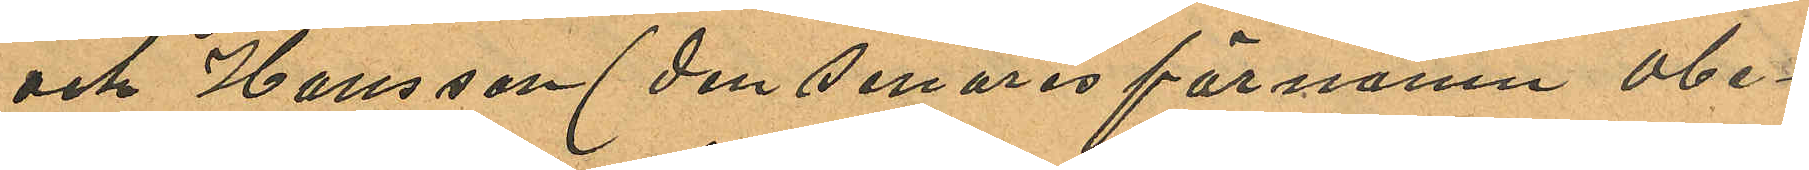och Hansson (den senares förnamn obe¬
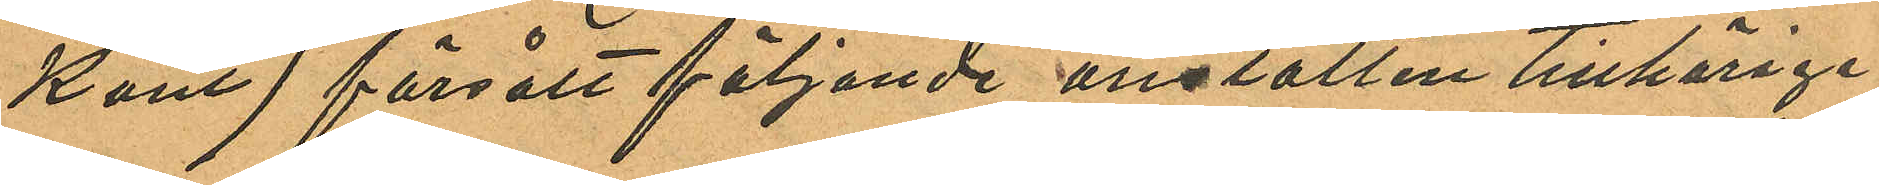kant) försålt följande anstalten tillhörige
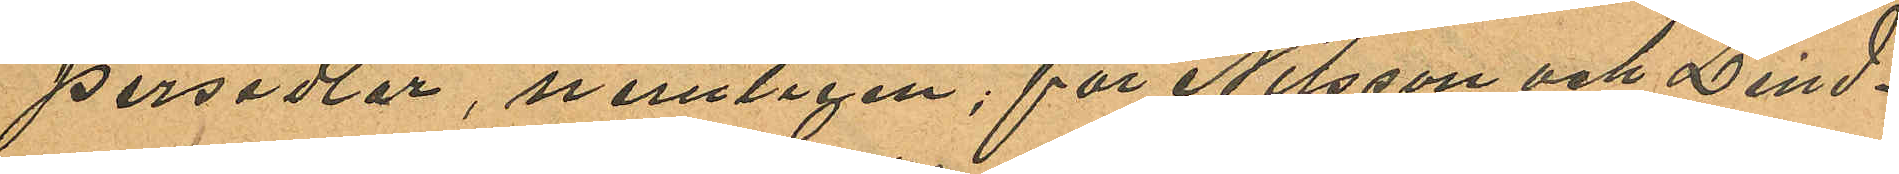persedlar, nemligen; för Nilsson och Lind¬
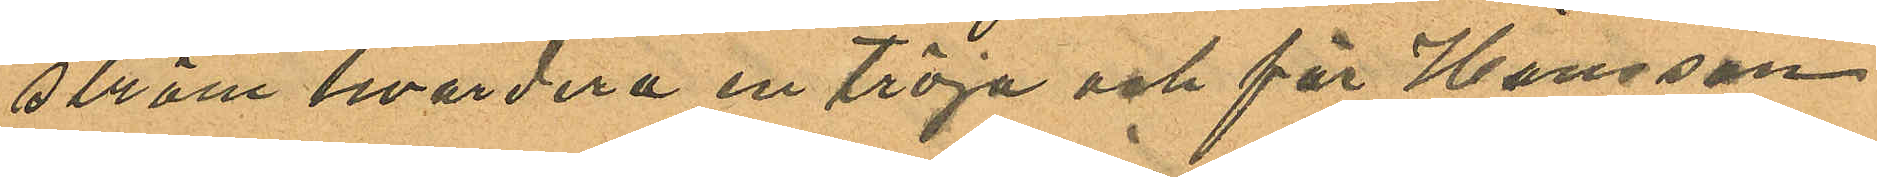ström hvardera en tröja och för Hansson
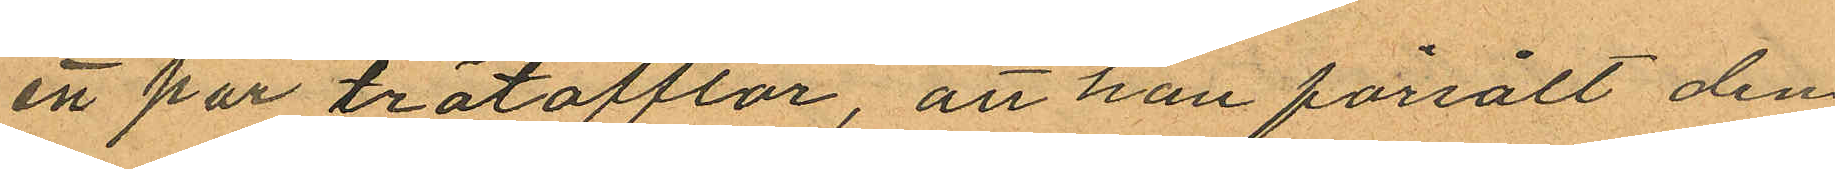en par trätofflor, att han försålt den
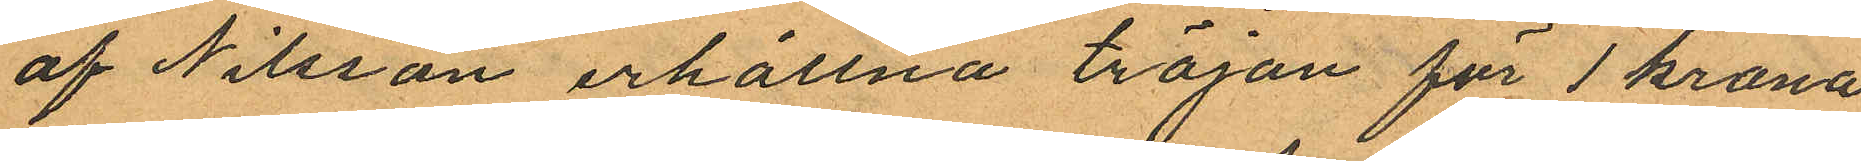af Nilsson erhållna tröjan för 1 krona
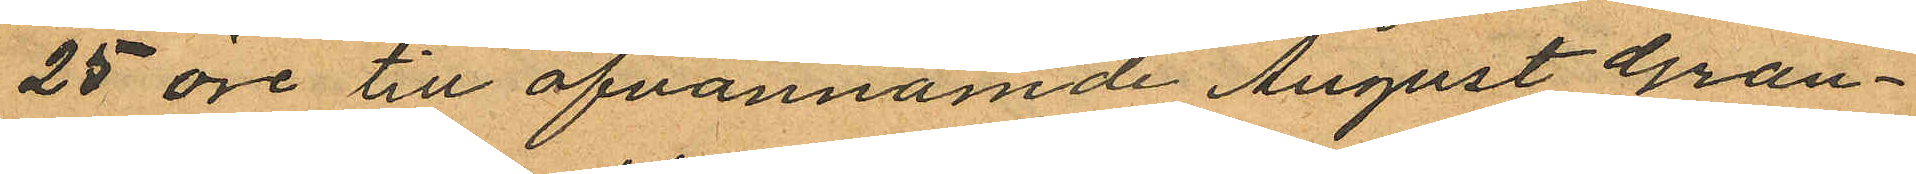25 öre till ofvannämde August Gran¬
